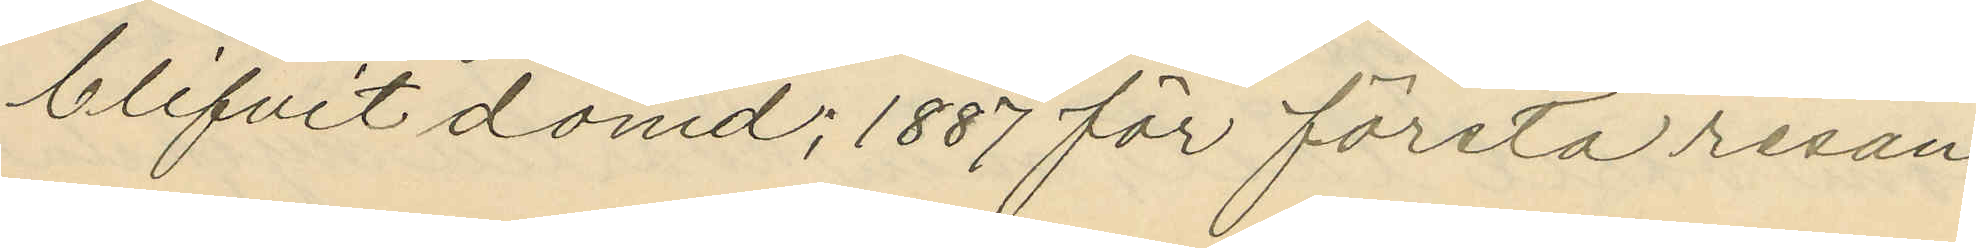blifvit dömd; 1887 för första resan
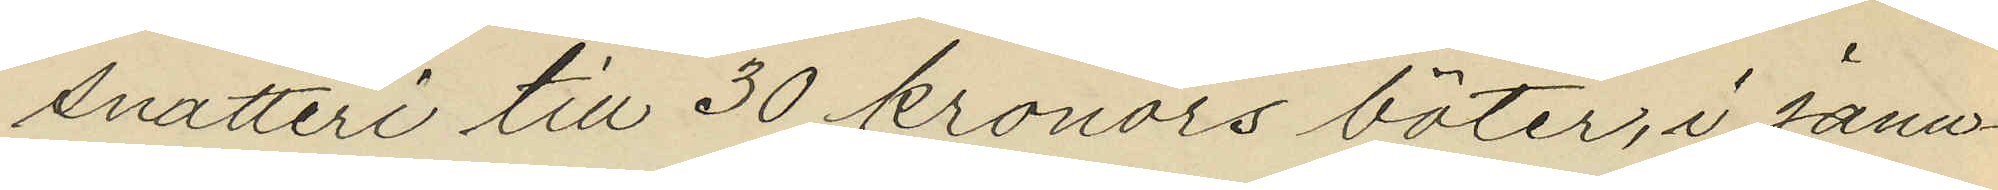snatteri till 30 kronors böter, i Janu¬
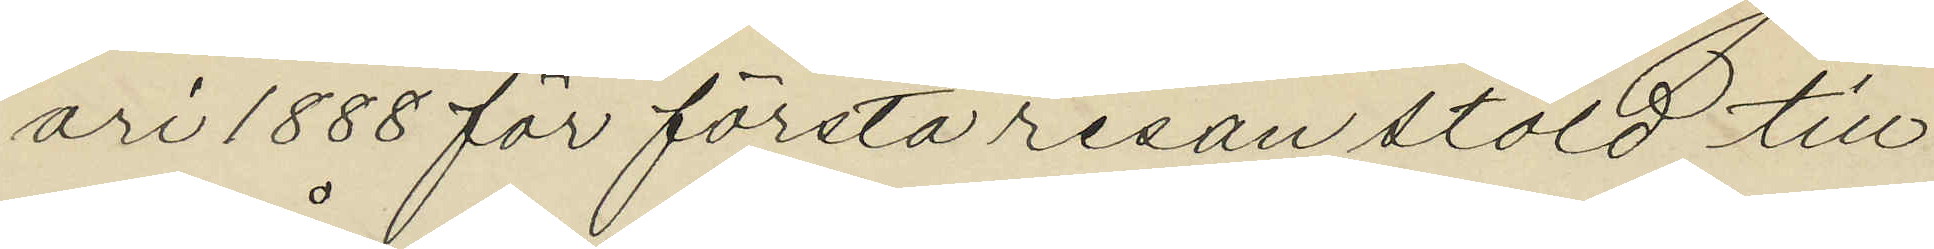ari 1888 för första resan stöld till
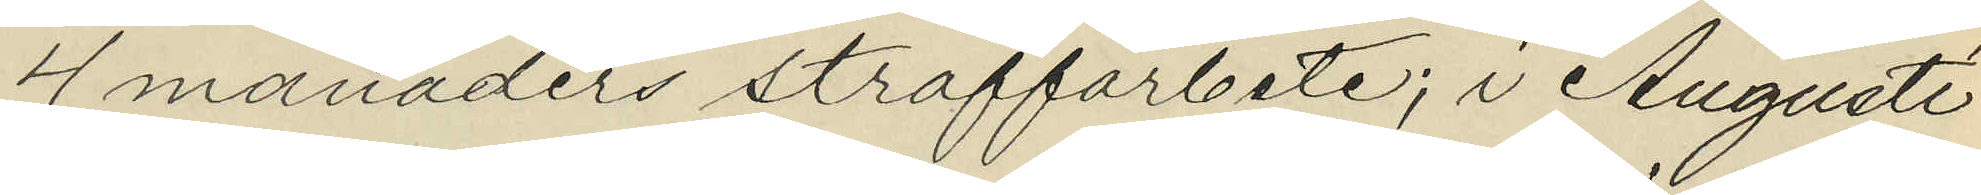4 månaders straffarbete; i Augusti
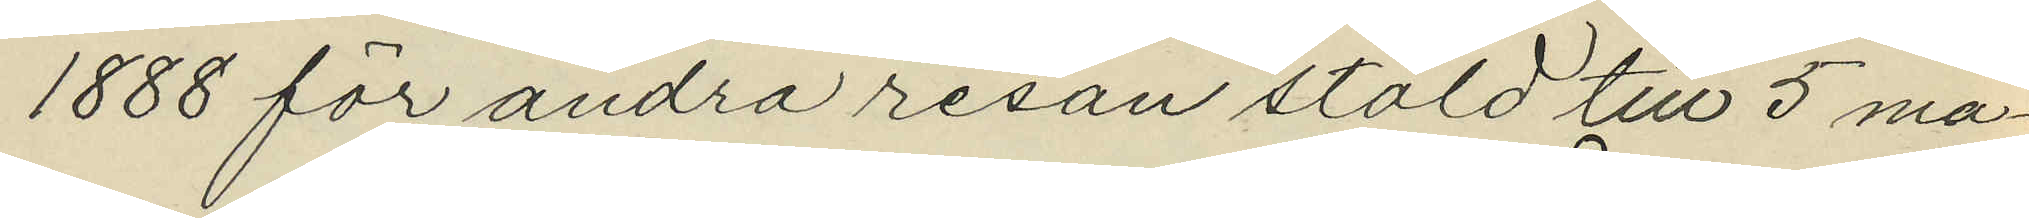1888 för andra resan stöld till 5 må¬
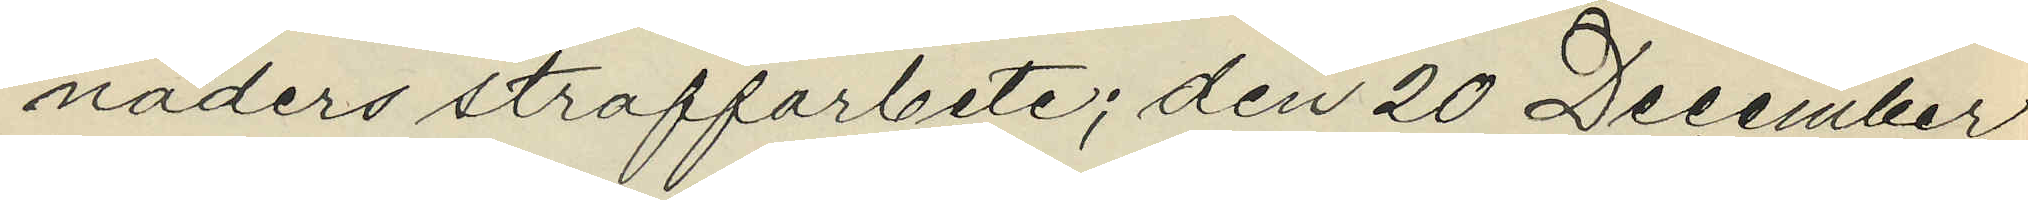naders straffarbete; den 20 December
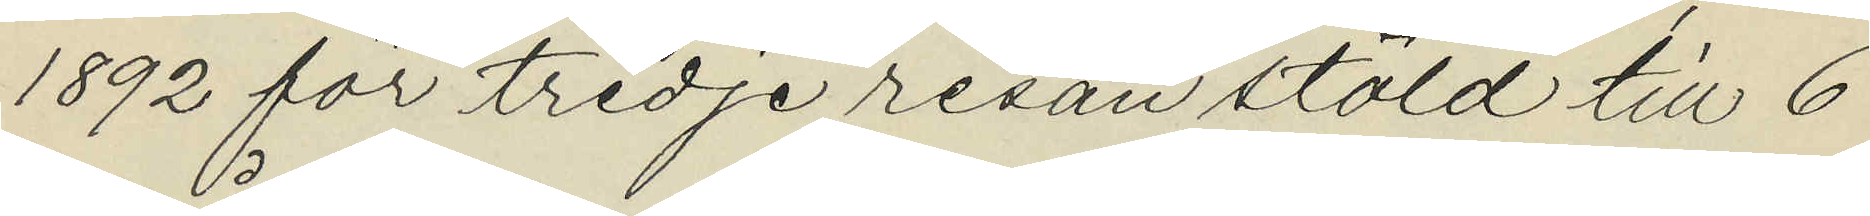1892 för tredje resan stöld till 6
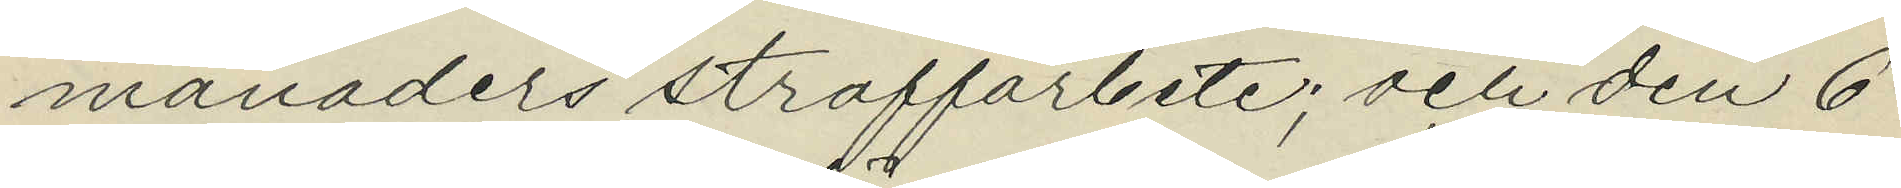månaders straffarbete; och den 6
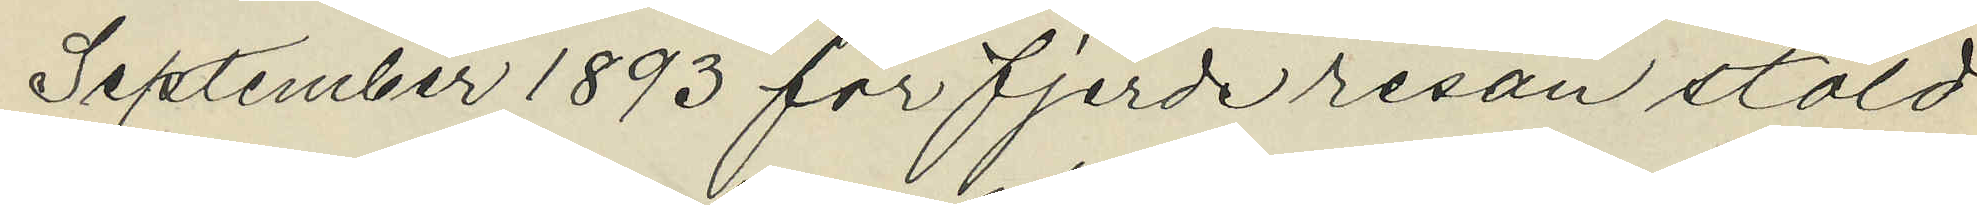September 1893 för fjerde resan stöld
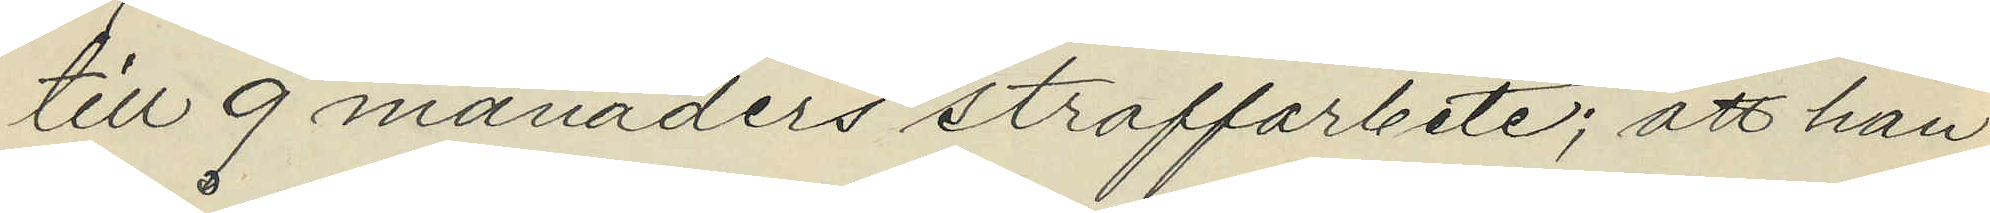till 9 månaders straffarbete; att han
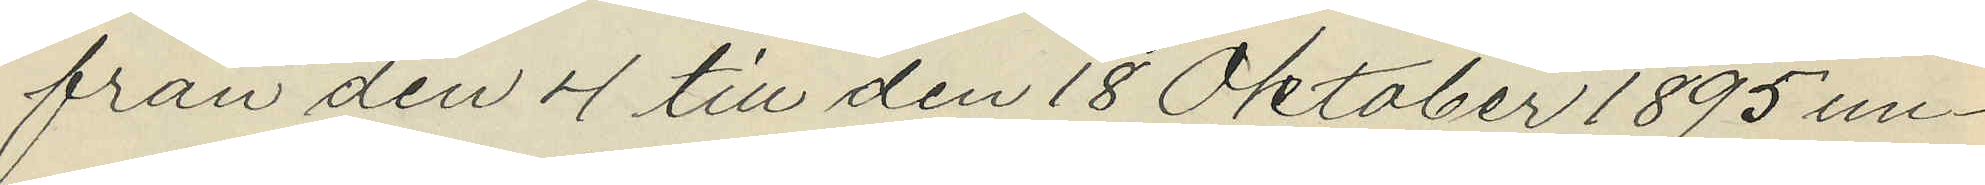från den 4 till den 18 Oktober 1895 un¬
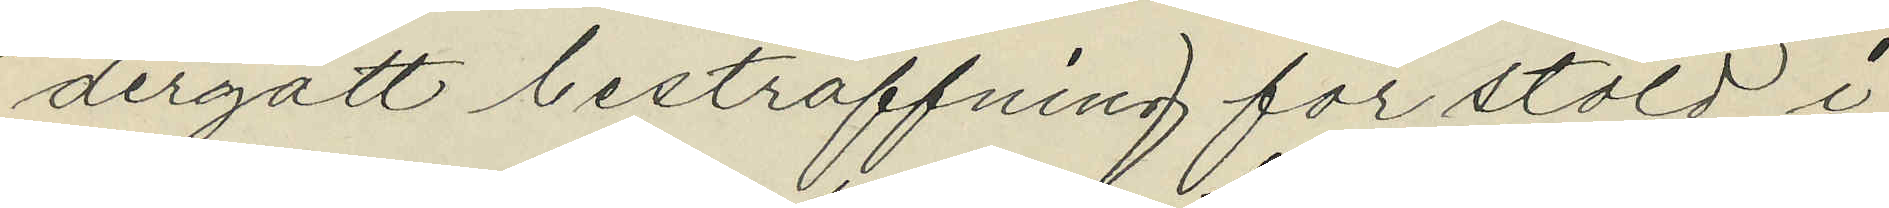dergått bestraffning för stöld i
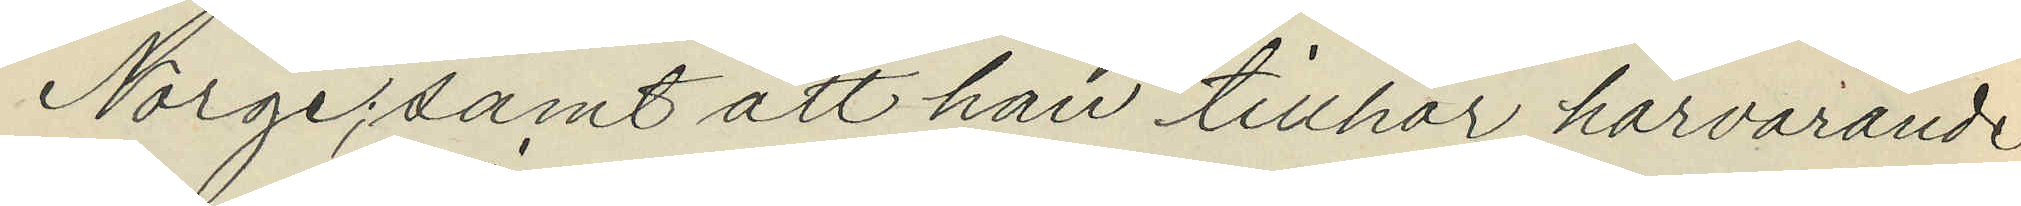Norge; samt att han tillhör härvarande
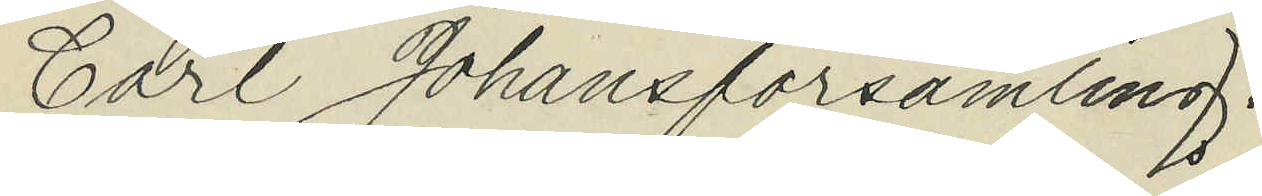Carl Johansförsamling.
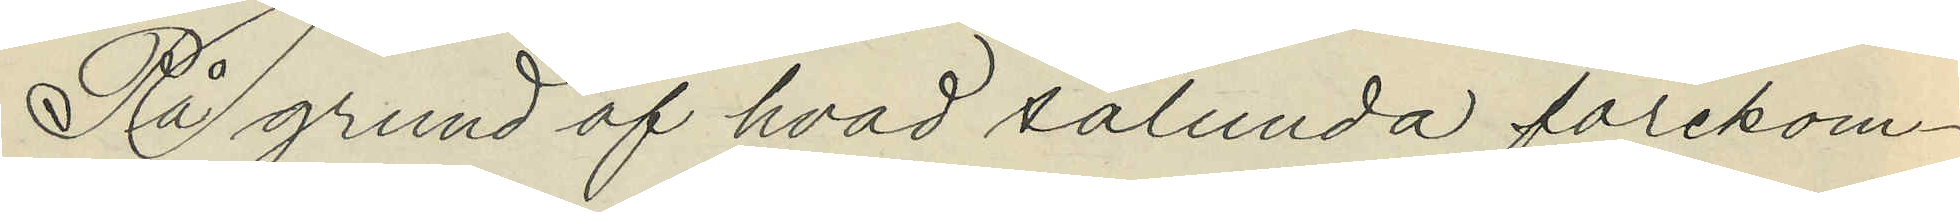På grund af hvad sålunda förekom¬
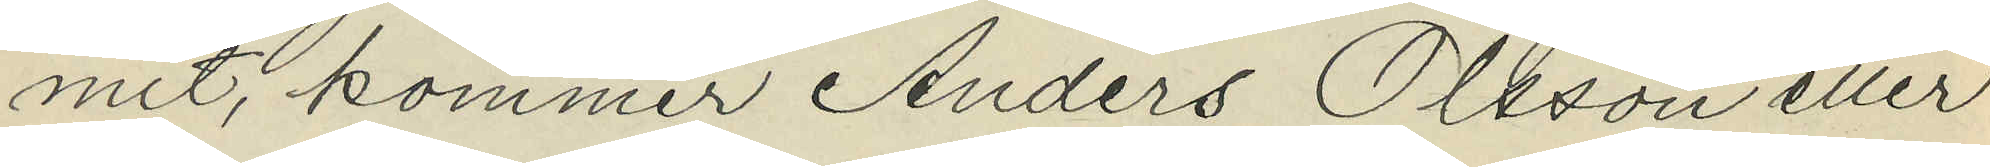mit, kommer Anders Olsson eller
